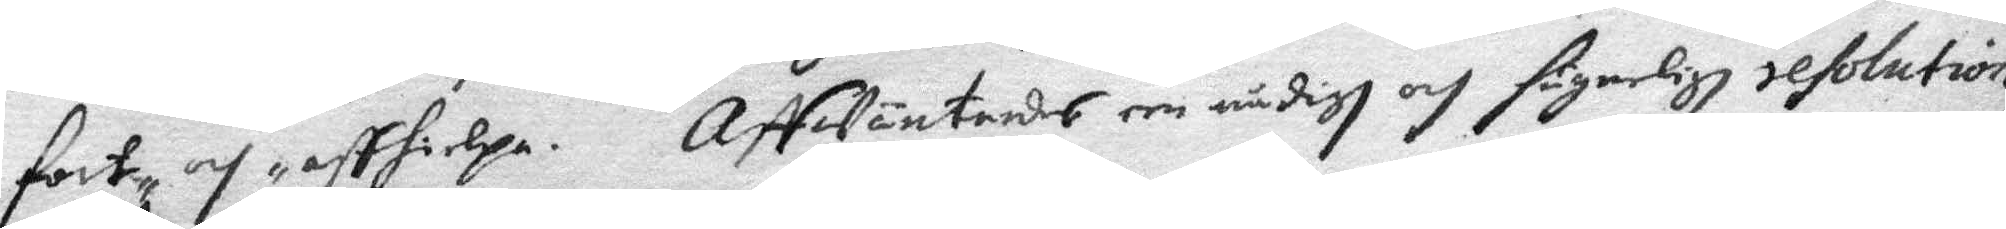fort och affhielpa. Affwäntandes een nådigh och fägnerligh resolution
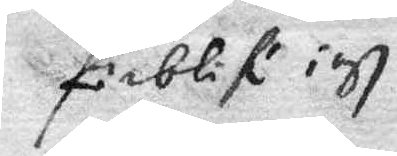förblif iagh
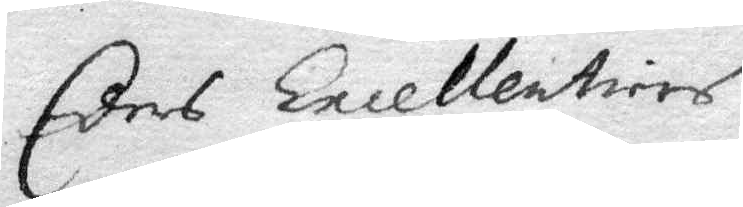Eders Excellentiers
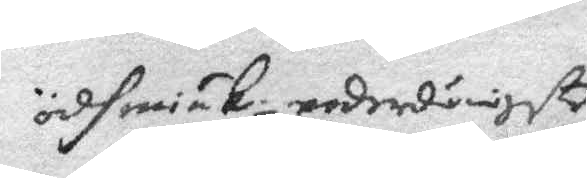ödhmiuk. underdånigste
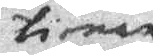tienare
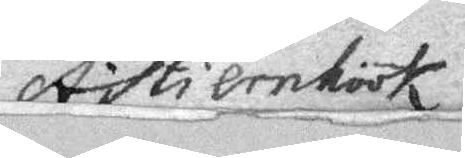A Stiernhöök
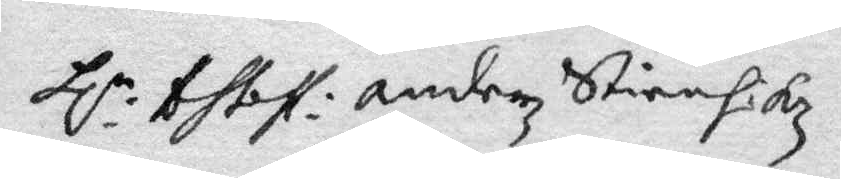Hl: bhbff: Anderz Stiernhökz
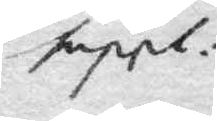suppl:
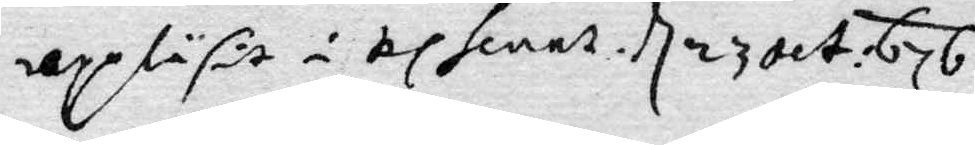uppläsit i Kl hieest, d 23 oct: 676
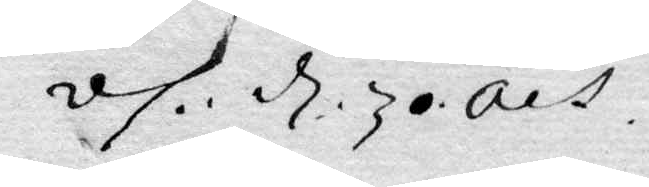vh: d 30 oct
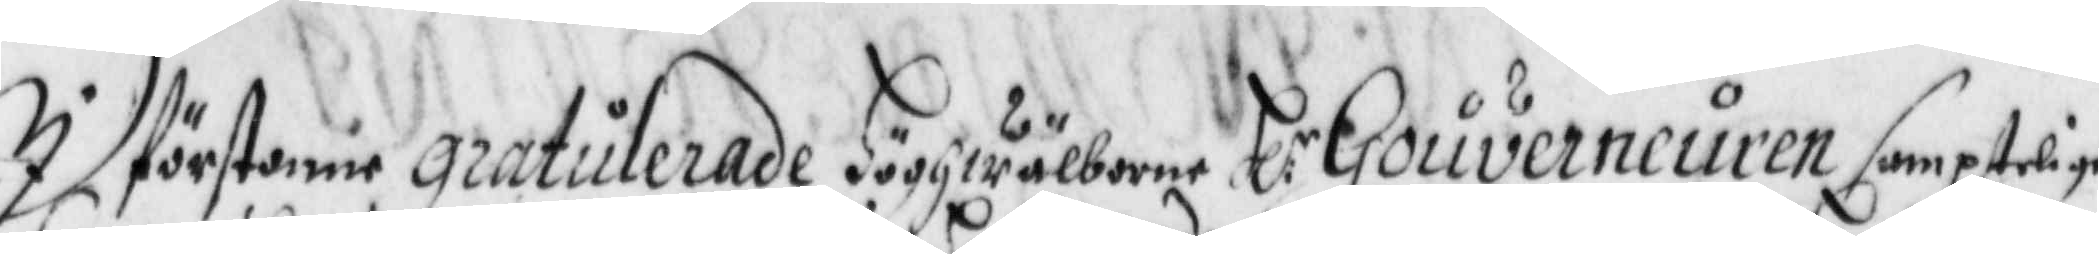I förstone gratulerade Höghwälborne H:r Gouverneuren samptelige
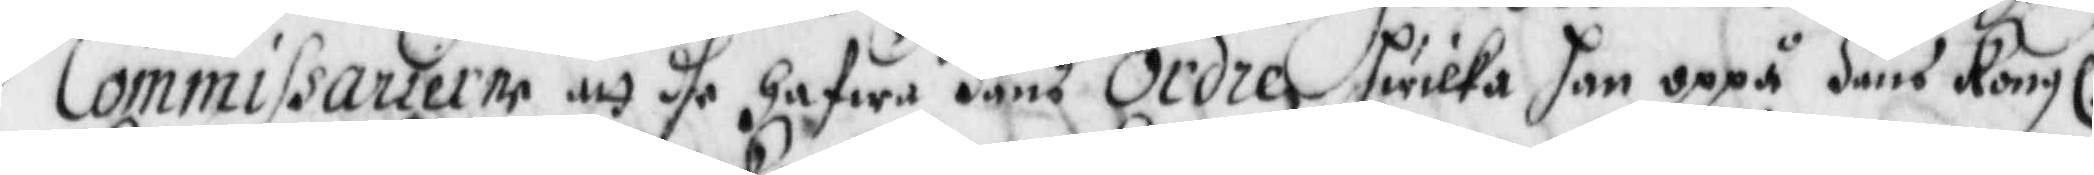Commissarierne att dhe hafwa Hans Order Hwilka han oppå Hans Kongl:
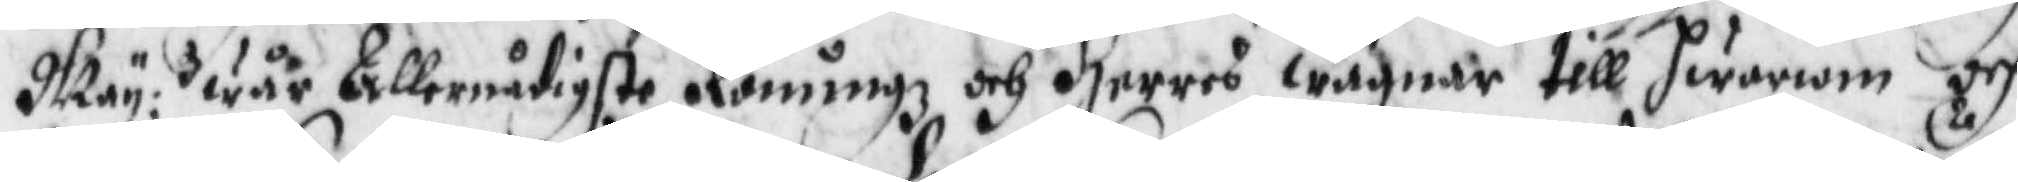May:tz wår Allernådigste Konung och Herres wägnar till hwarom och
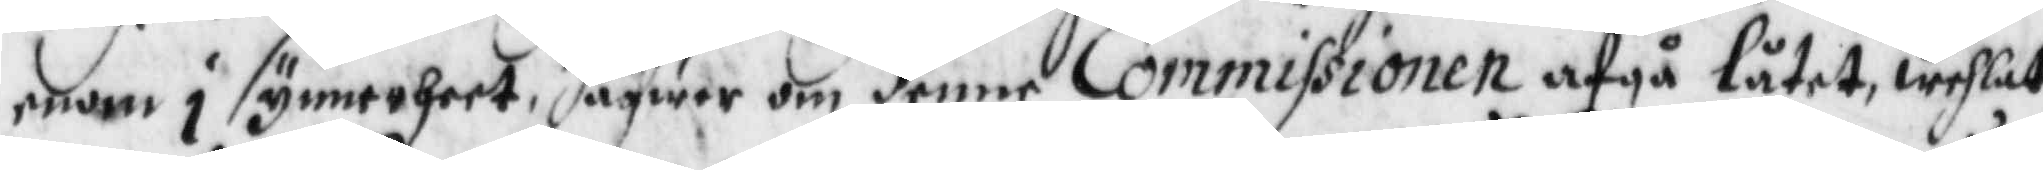enom i synnerheet, hafwer om denne Commissionen afgå låtet, wehlat
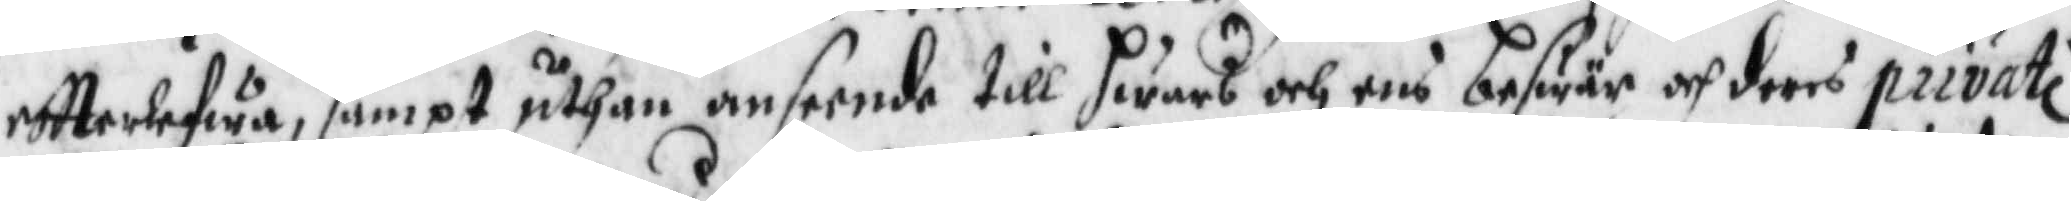eftterlefwa, sampt uthan anseende till hwars och ens beswär och deras private
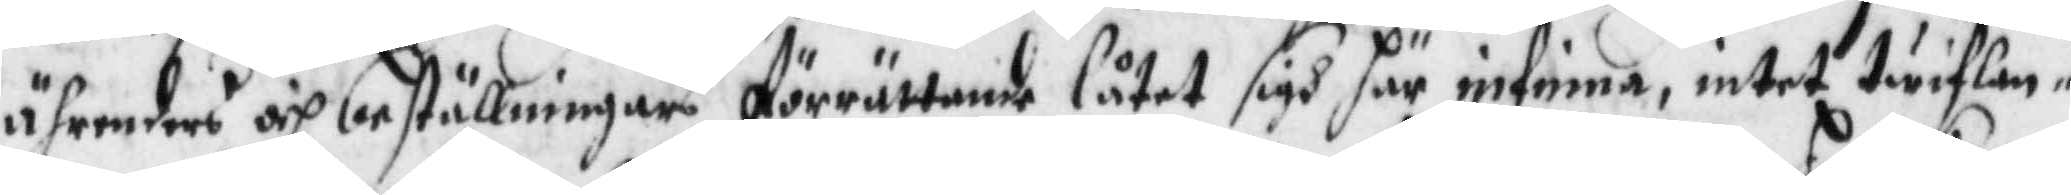ährendens och beställninar Förrättade låtet sigh här infinna¬
